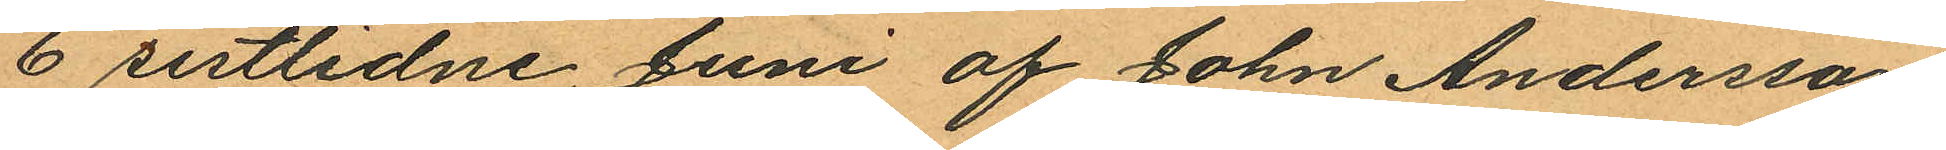6 sistlidne Juni af John Andersson
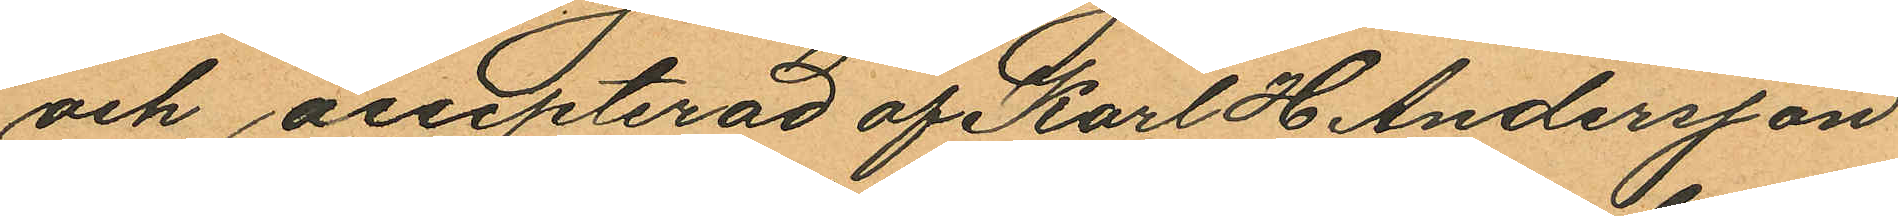och accepterad af Karl H Andersson
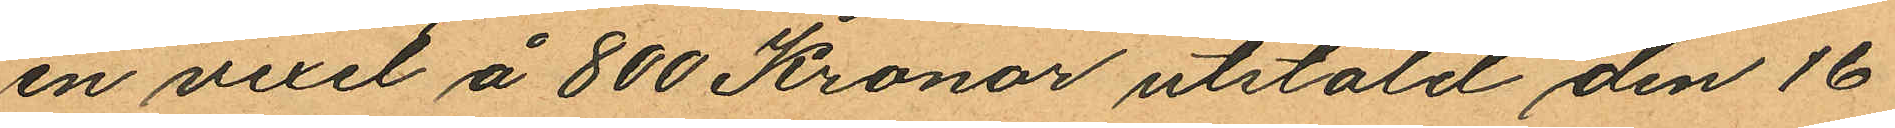en vexel å 800 Kronor utstäld den 16
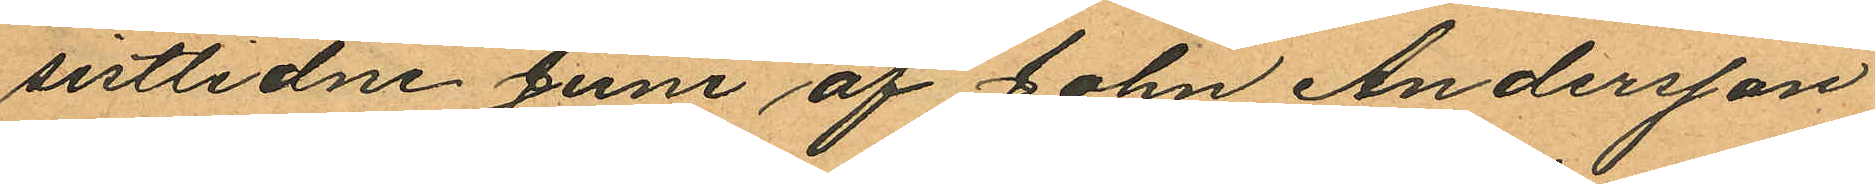sistlidne Juni af John Andersson
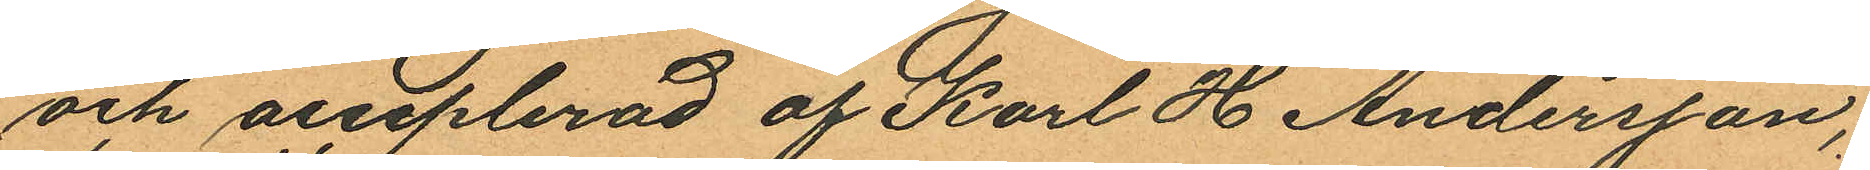och acceplerad af Karl H Andersson;
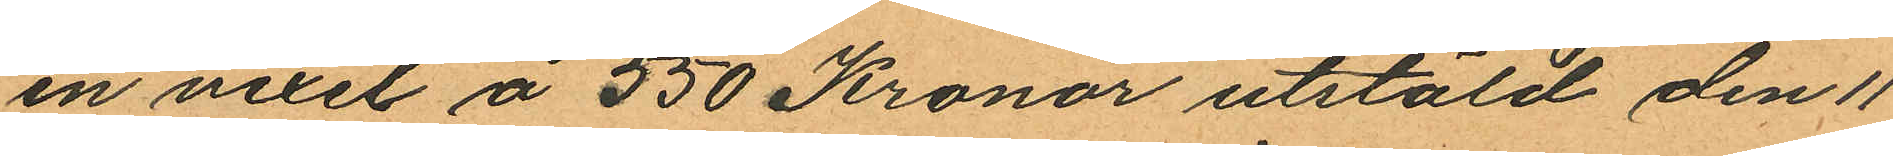en vexel å 550 Kronor utstäld den 11
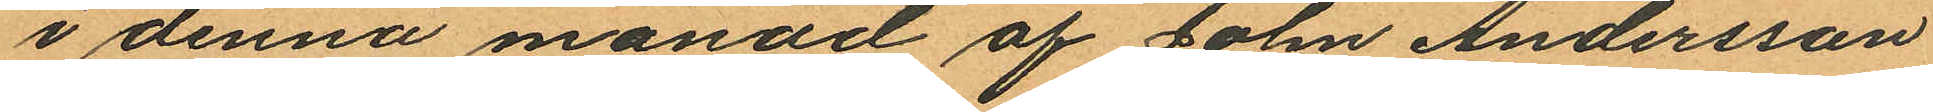i denna månad af John Andersson
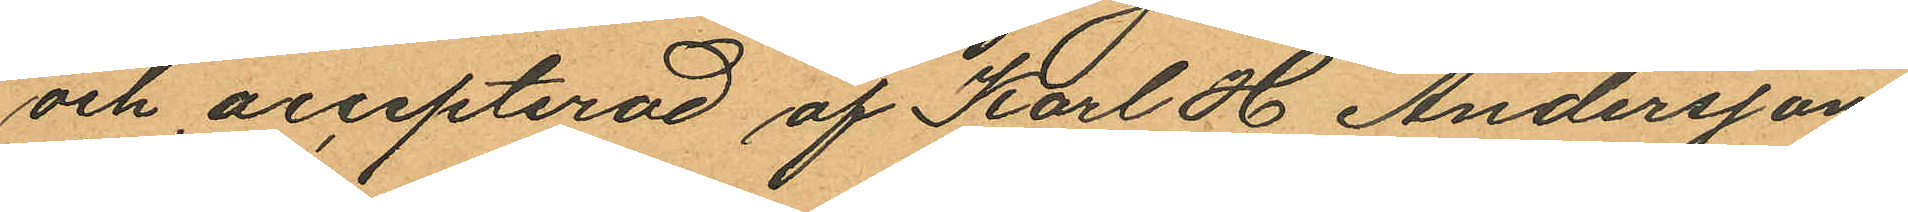och accepterad af Karl H Andersson;
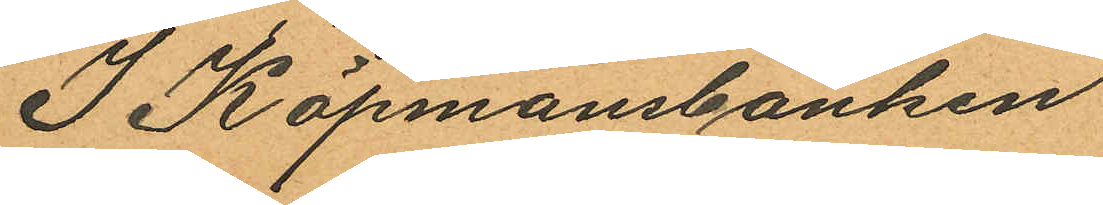I Köpmansbanken
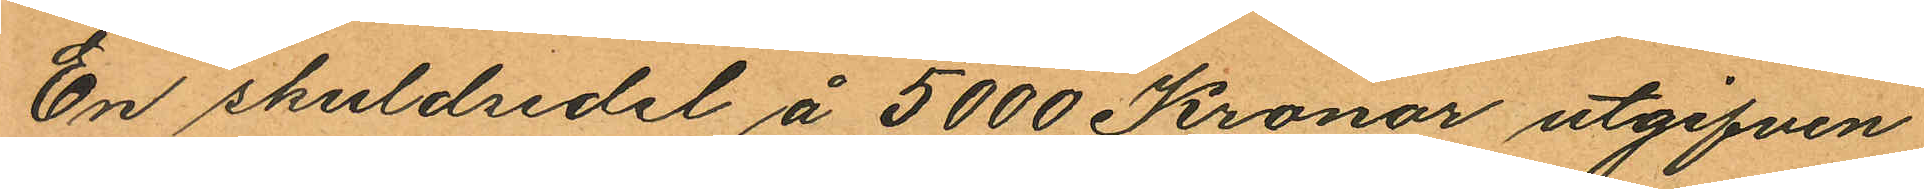En skuldsedel å 5000 Kronor utgifven
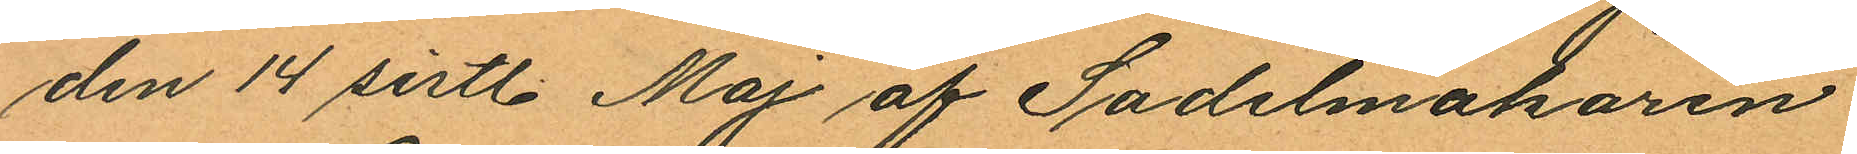den 14 sistl. Maj af Sadelmakaren
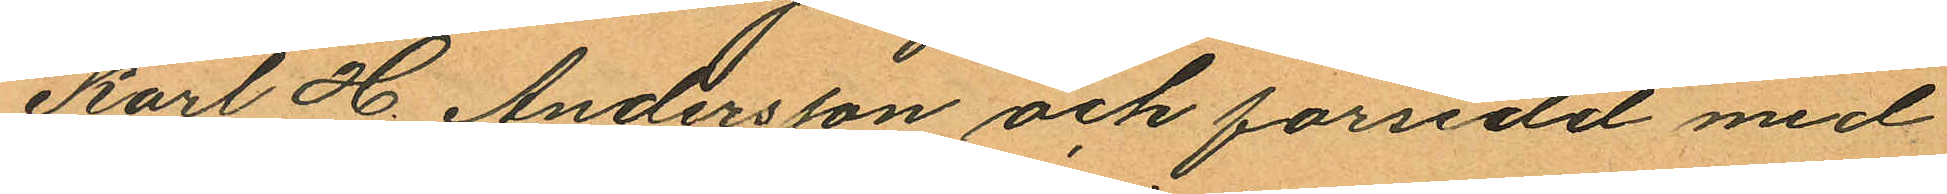Karl H Andersson och försedd med
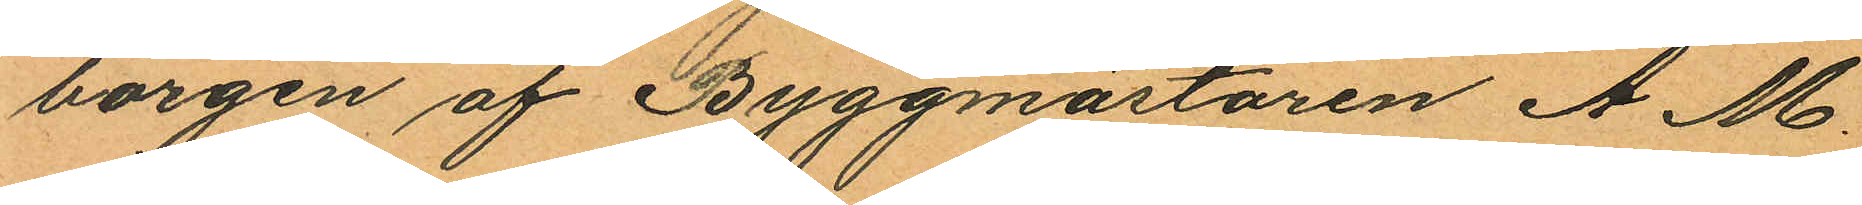borgen af Byggmästaren A. M.
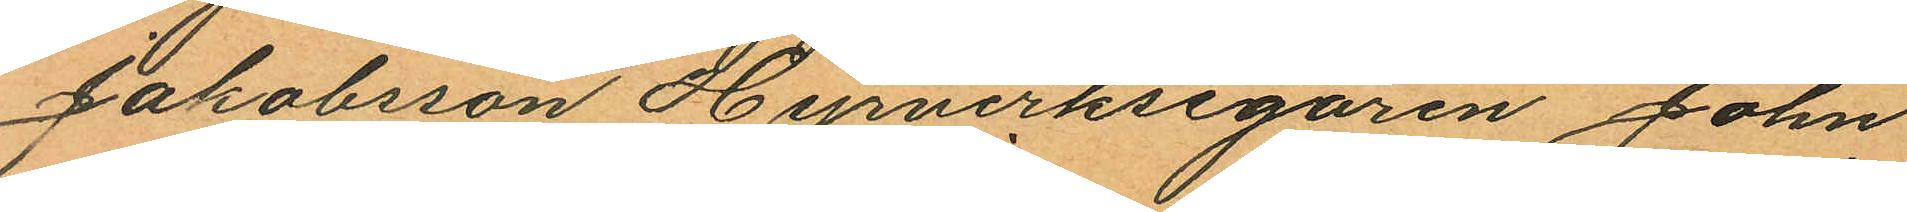Jakobsson Hyrverksegaren John
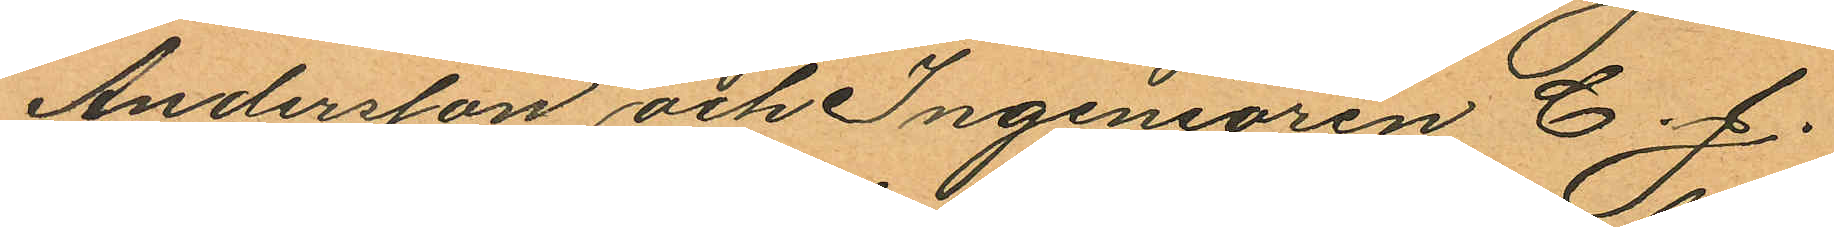Andersson och Ingeniören C. J.
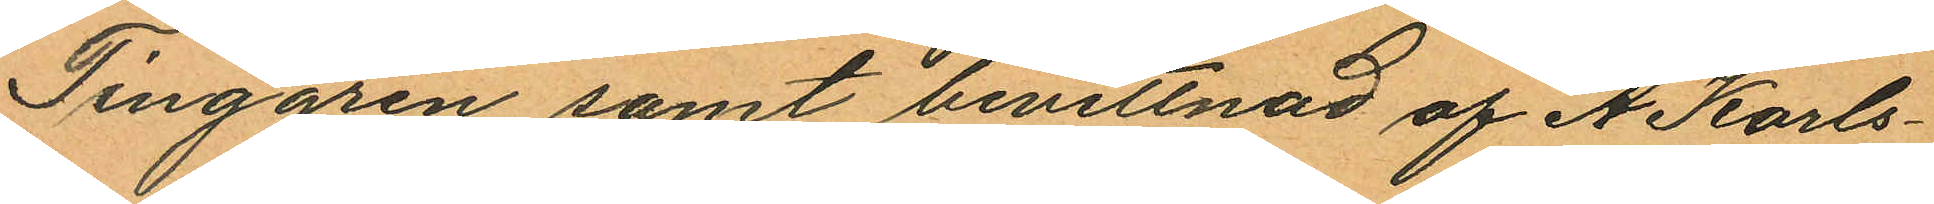Tinggren samt bevittnad af A Karls¬
